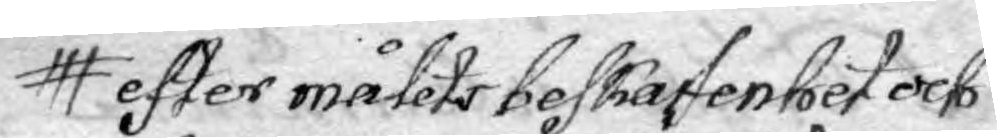efter målets bestaffenhet och
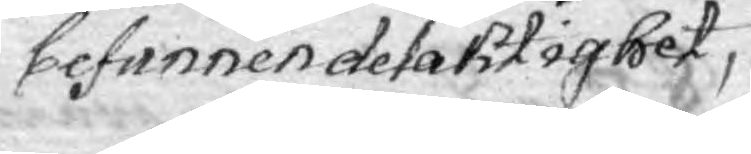befunnen delaktighet,
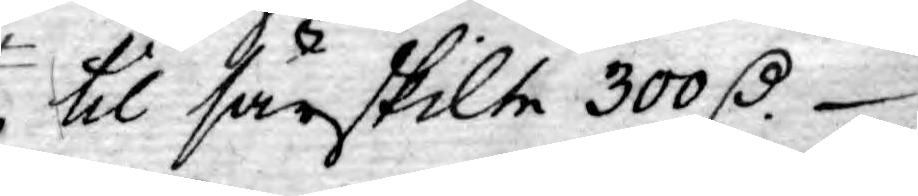til särskilte 300 D.
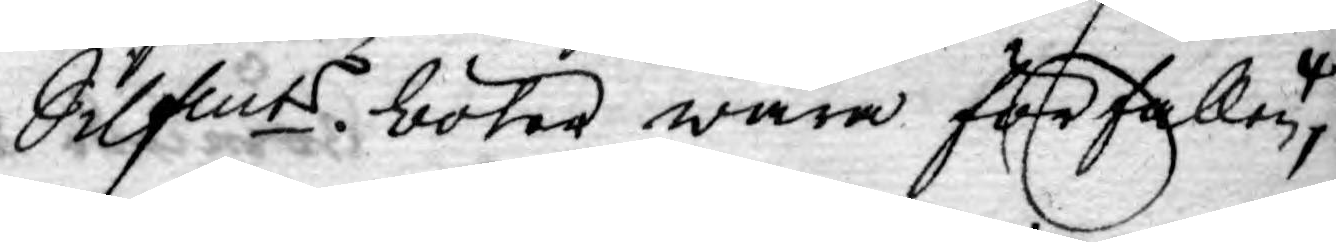Silfmts böter wara förfallen,
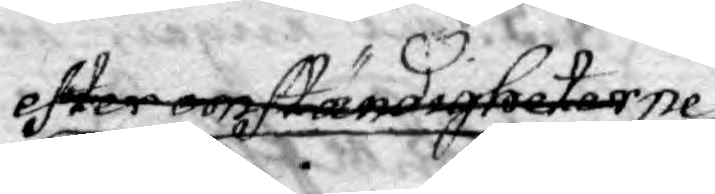efter omständigheterne
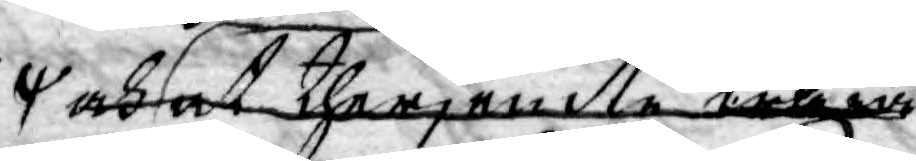och at therjemte wara
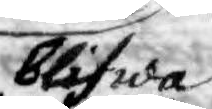blifwa
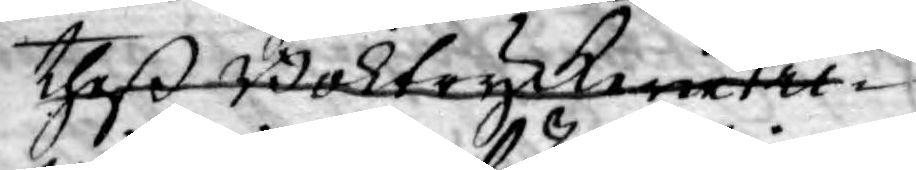theß BoktryckeriePri¬
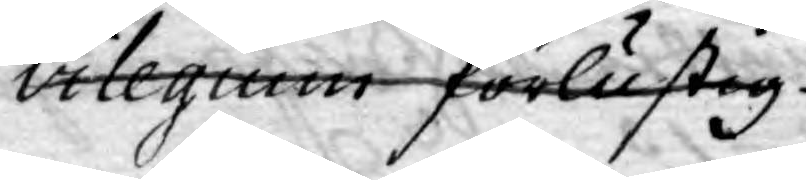vilegium förlustig.
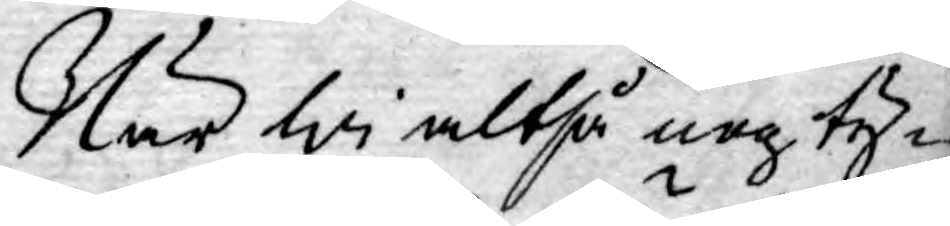När wi altså nog ty¬
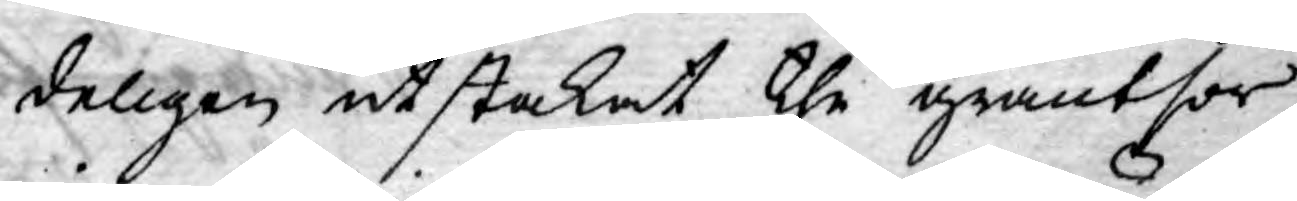deligen utstakat the gräntsor
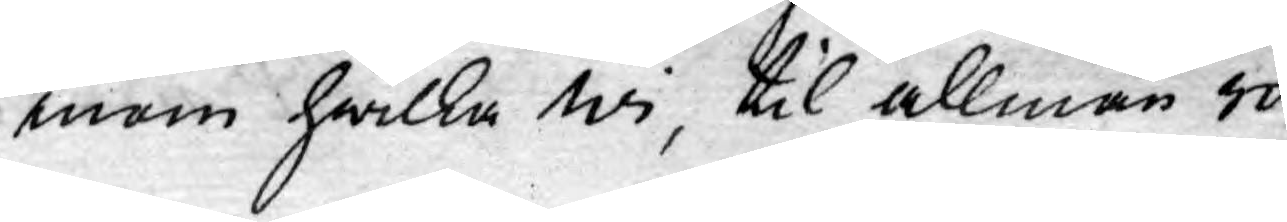inom hwilka wi, til allmän ro
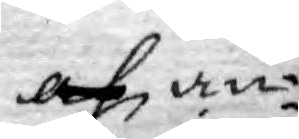af an¬
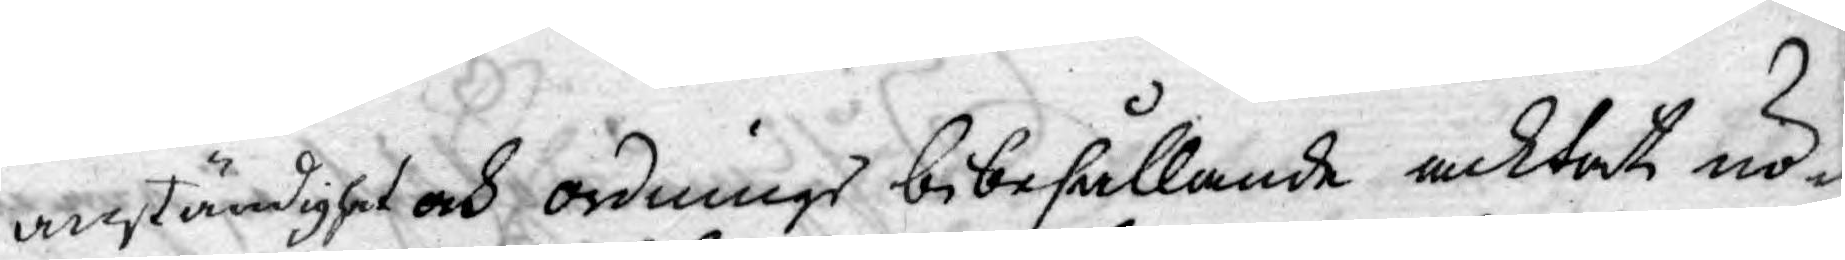anständiget och ordnings bibehållande acktat nö¬
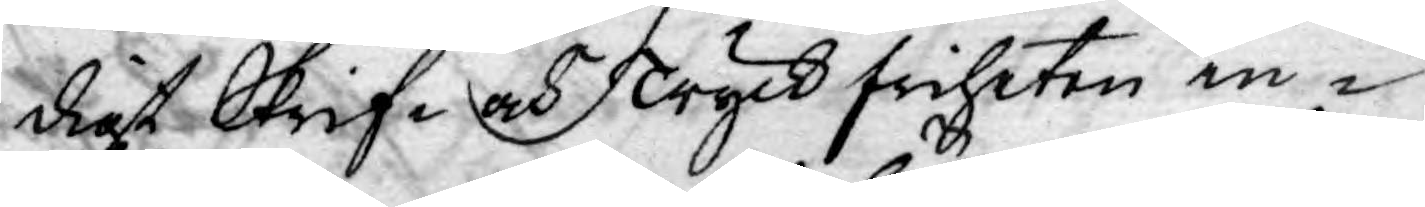digt Skrif- och Tryckfriheten in¬
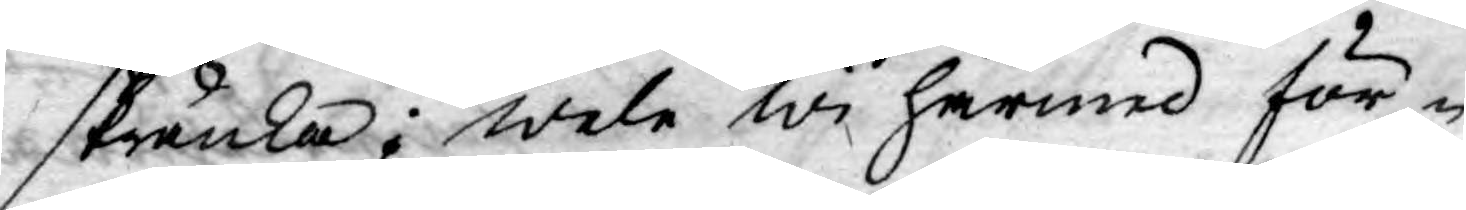skränka; wele wi härmed för¬
